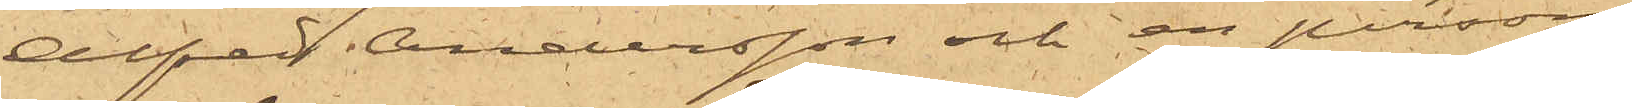Alfred Andersson och en person
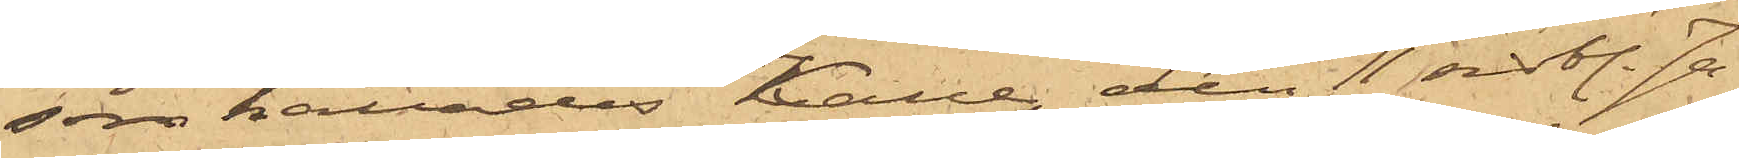som kallades Kalle, den 11 sist. Ja¬
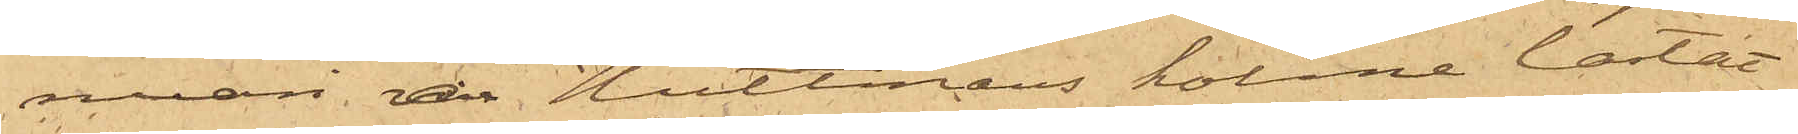nuari å Hultmans holme lastat
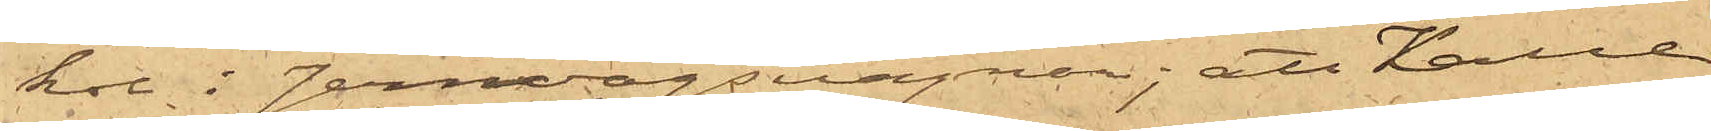kol i Jernvägsvagnar; att Kalle
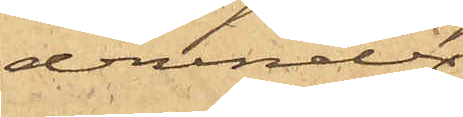derunder
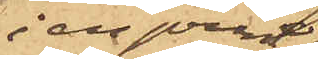i en vrå
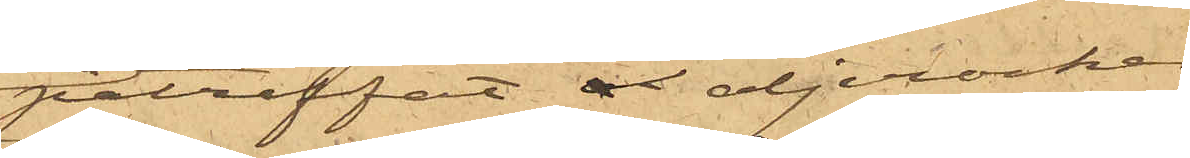påträffat åx oljerocken,
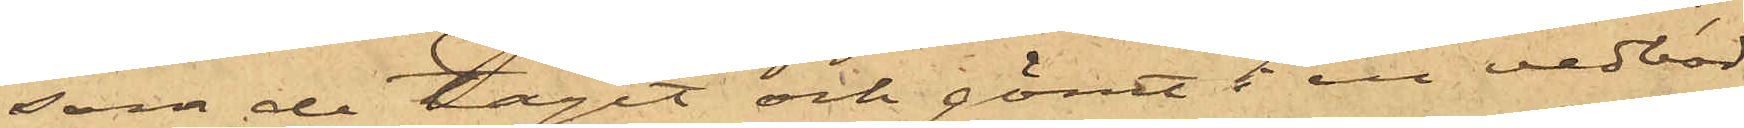som de tagit och gömt i en vedbod
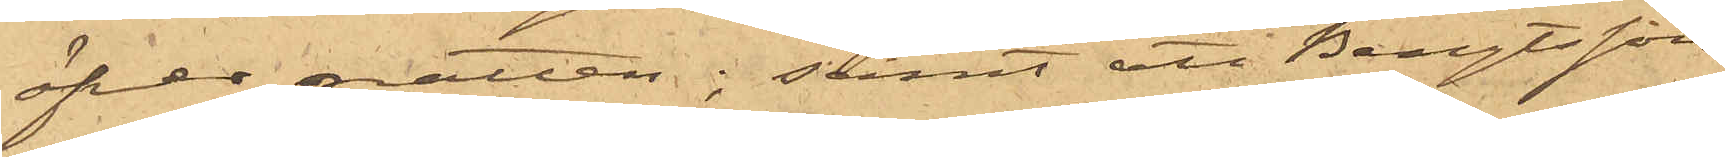öfver natten; samt att Bengtsson
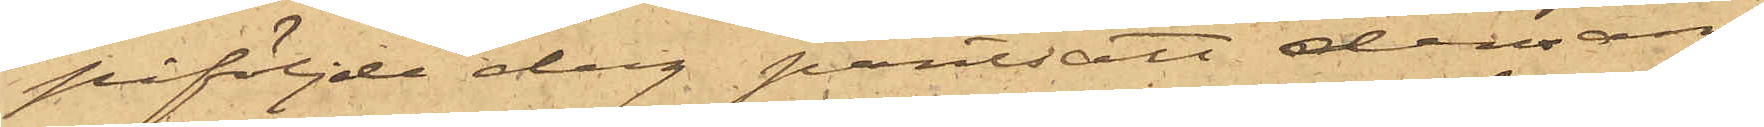påföljde dag pantsatt densam¬
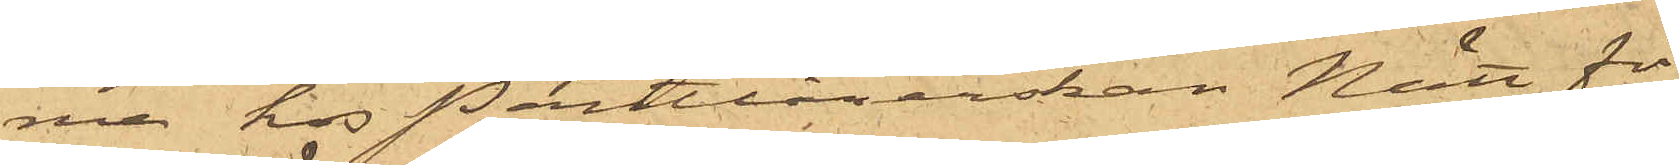ma hos Pantlånerskan Nätt för
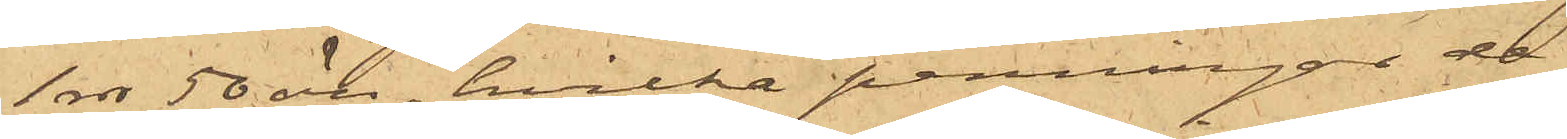1 rdr 50 öre, hvilka penningar de
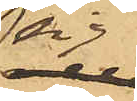sig
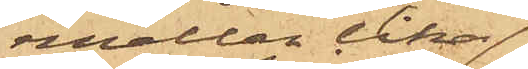mellan lika
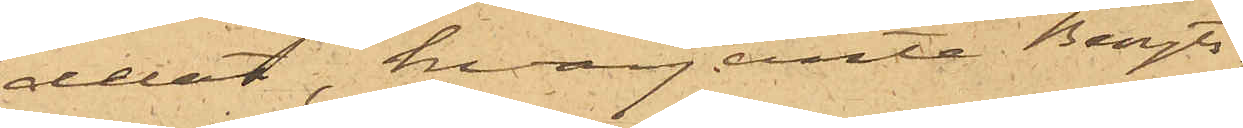delat, hvarjemte Bengts¬
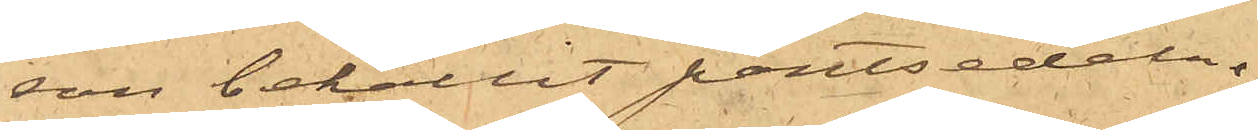son behållit pantsedeln.
